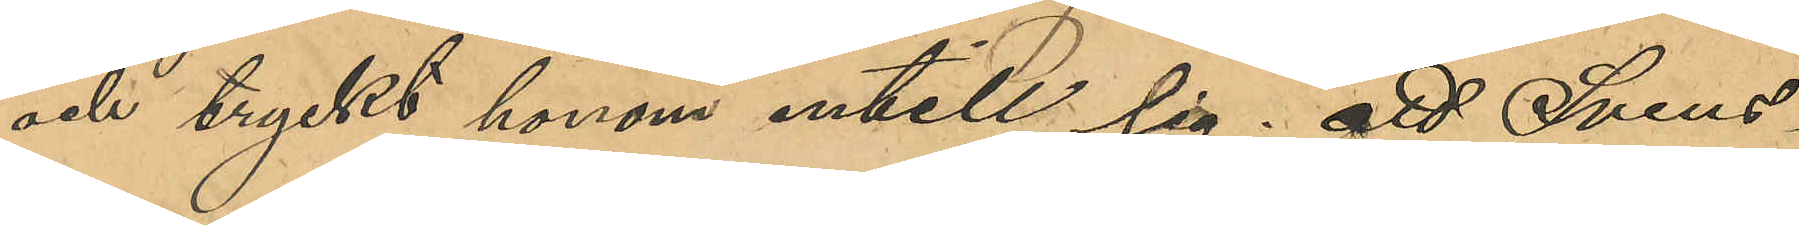och tryckt honom intill sig; att Svens¬
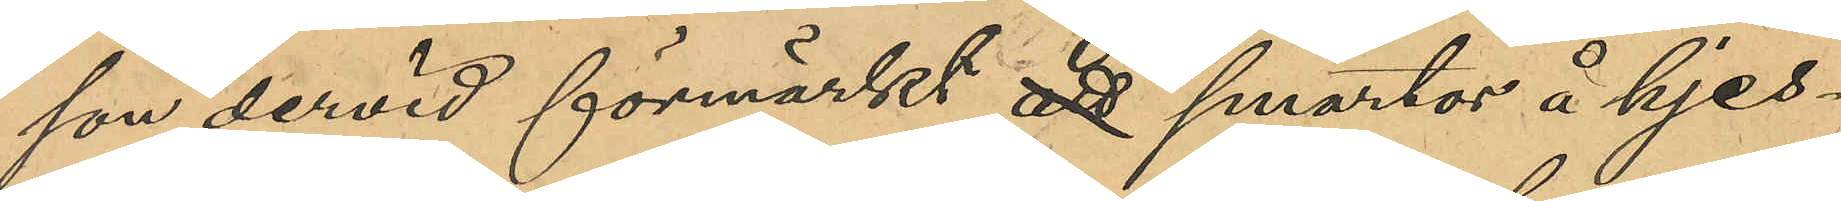son dervid förmärkt att smärtor å hjes¬
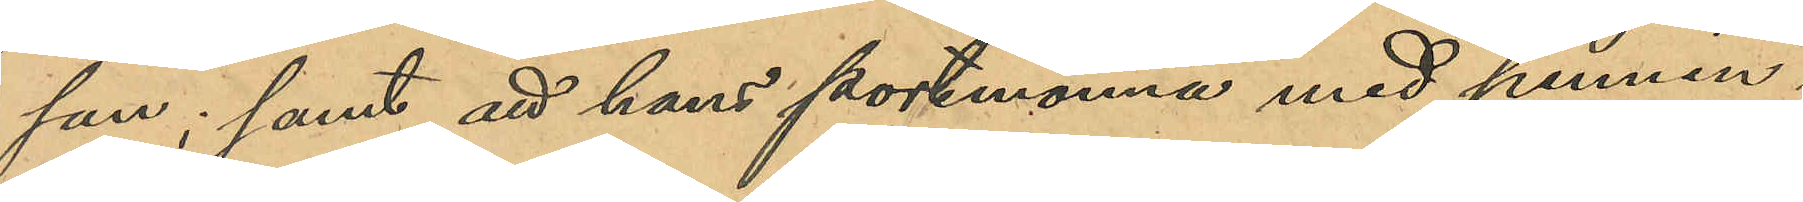san, samt att hans portmonnä med pennin¬
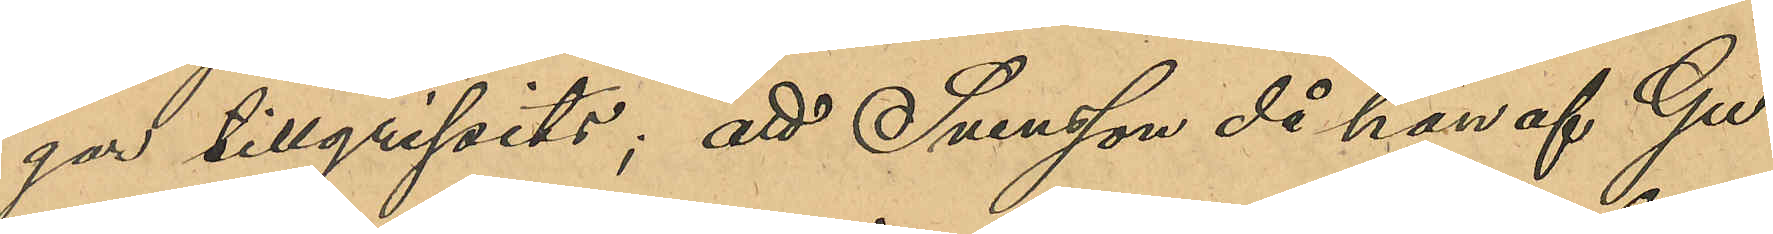gar tillgripits; att Svensson då han af Gu¬
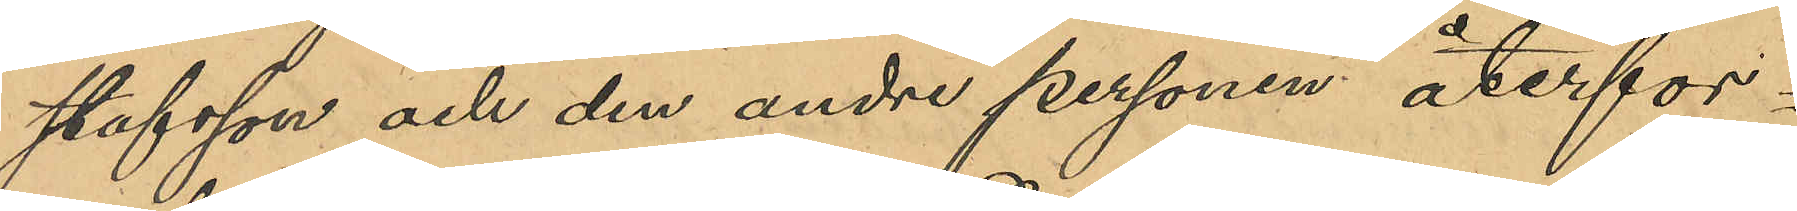stafsson och den andre personen återfor¬
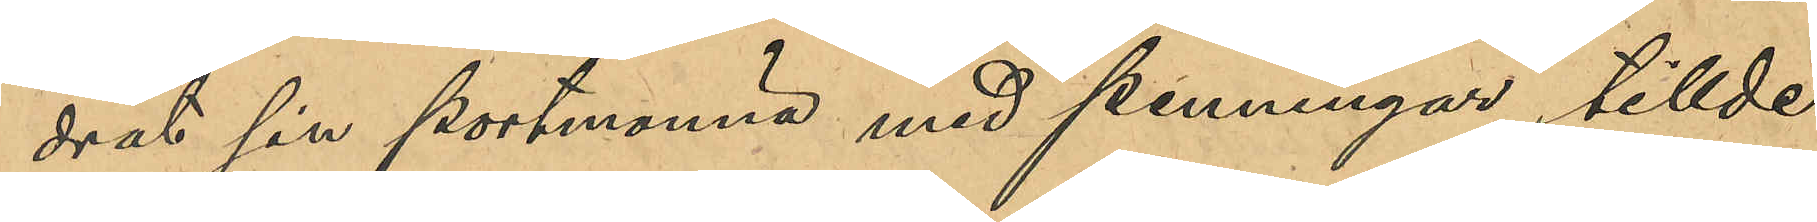drat sin portmonnä med penningar tillde¬
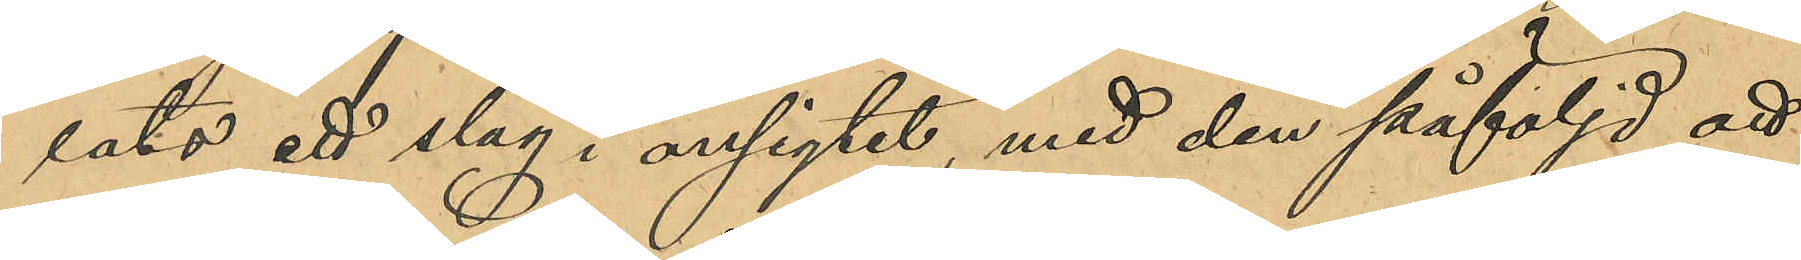lats ett slag i ansigtet med den påföljd att
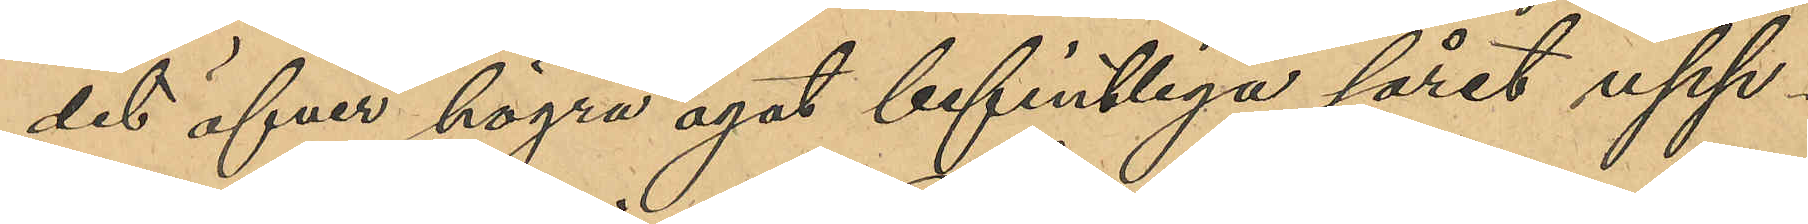det öfver högra ögat befintliga såret upp¬
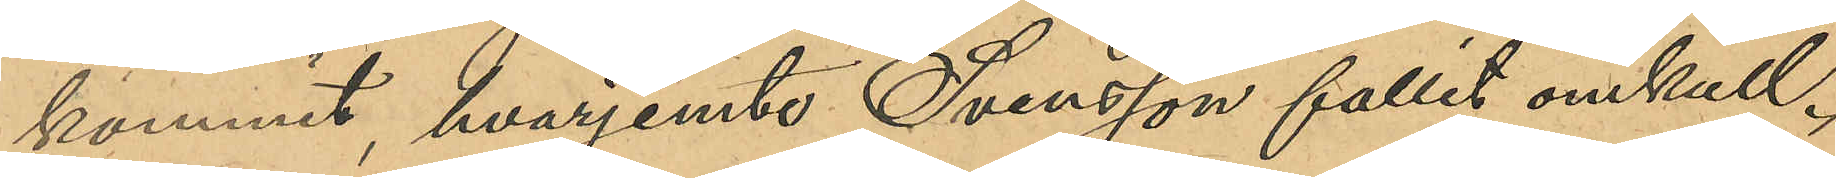kommit, hvarjemte Svensson fallit omkull.
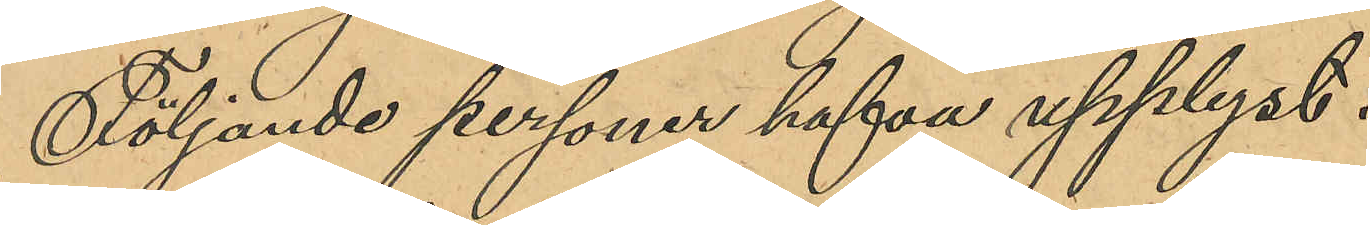Följande personer hafva upplyst:
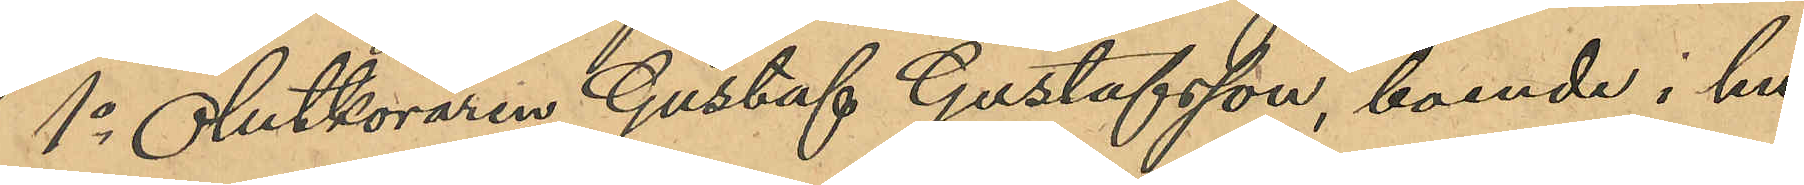1o Ölutköraren Gustaf Gustafsson, boende i hu¬
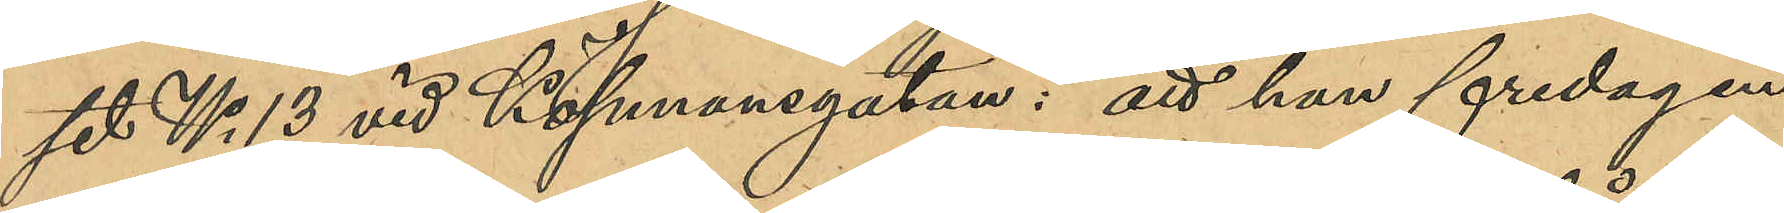set No 13 vid Köpmansgatan: att han fredagen
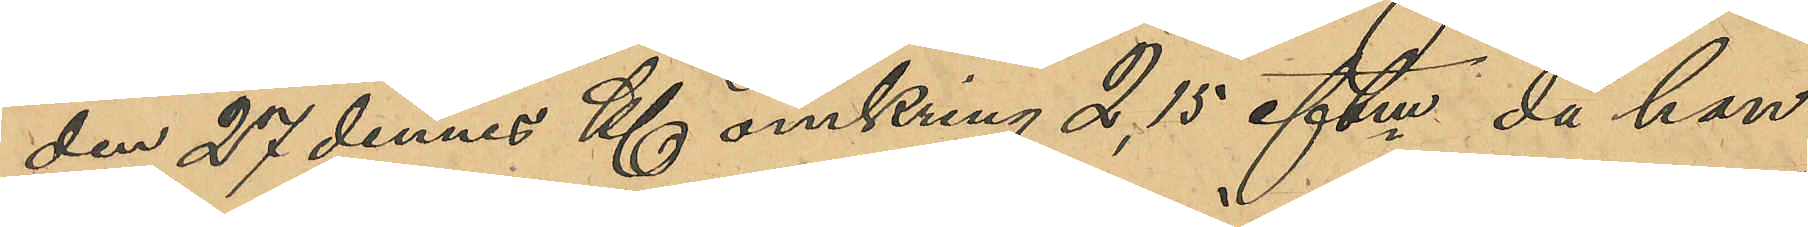den 27 dennes Kl omkring 2,15 eftm då han
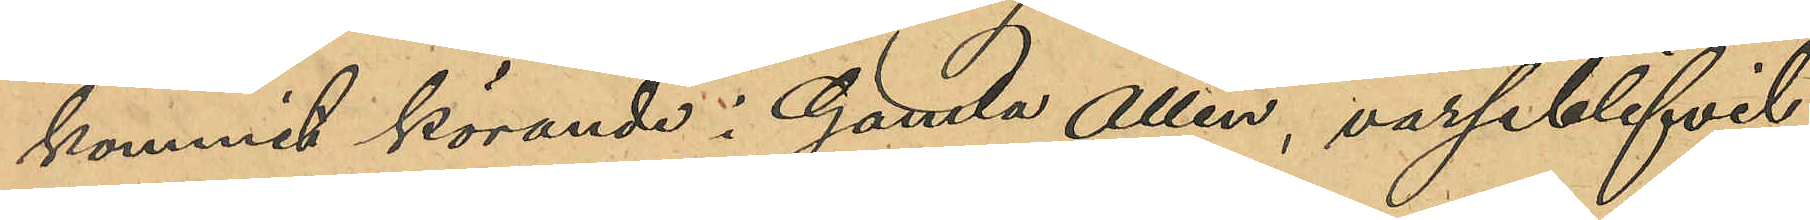kommit körande i Gamla Allén, varseblifvit
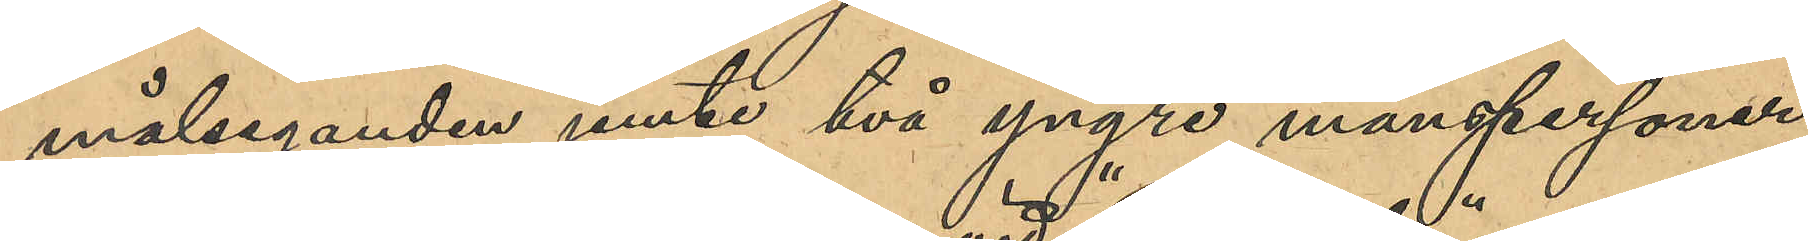målseganden jemte två yngre manspersoner
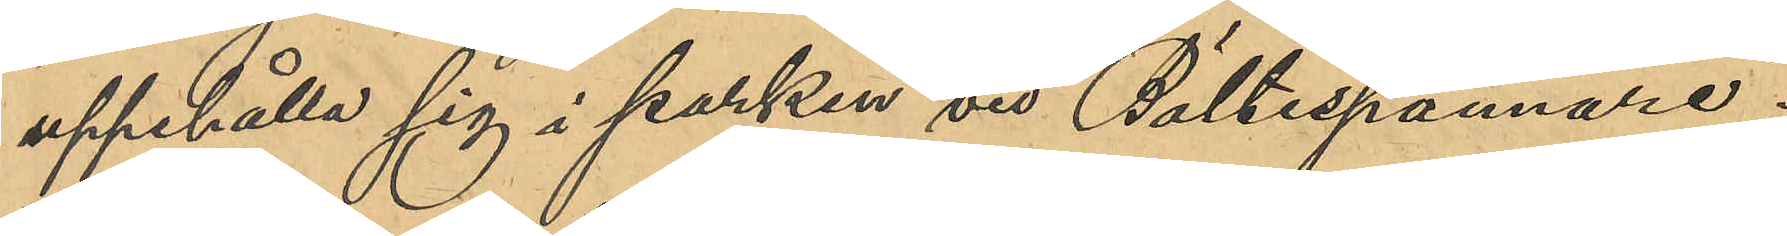uppehålla sig i parken vid "Bältesspännare";
